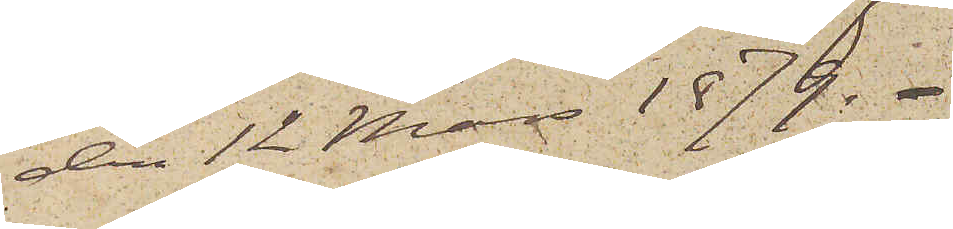den 12 Mars 1879.
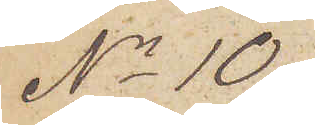No 10.
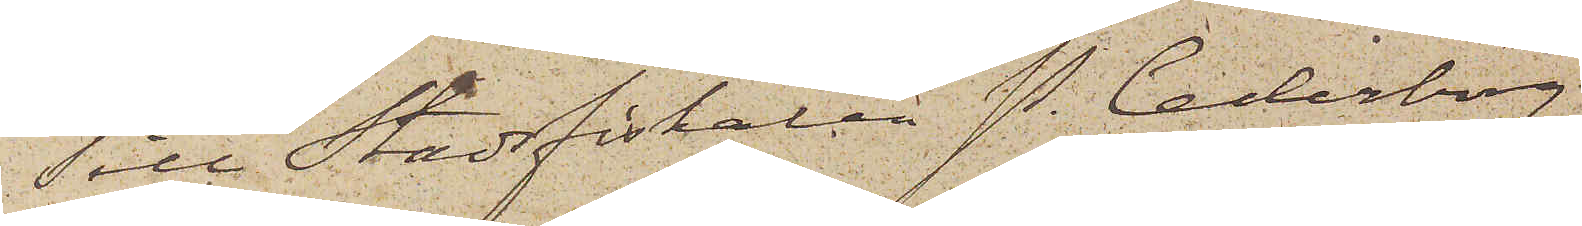Till Stadsfiskalen P. Cederborg,
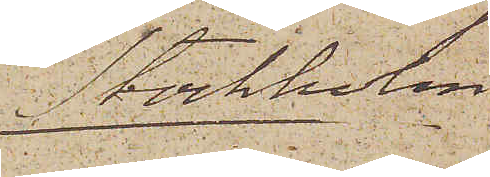Stockholm
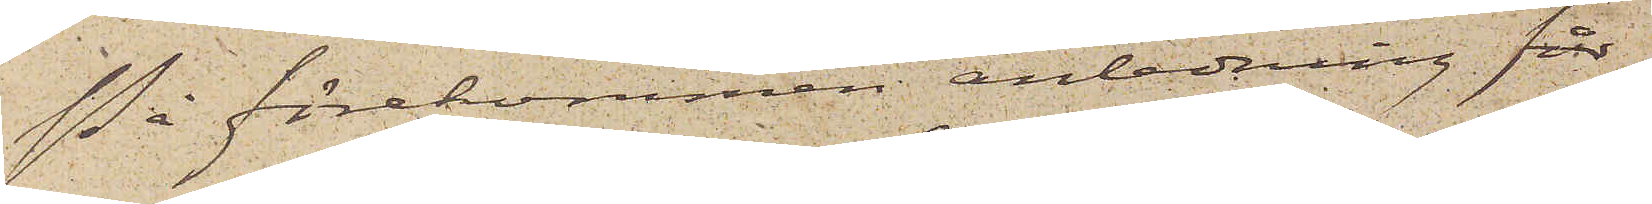På förekommen anledning får
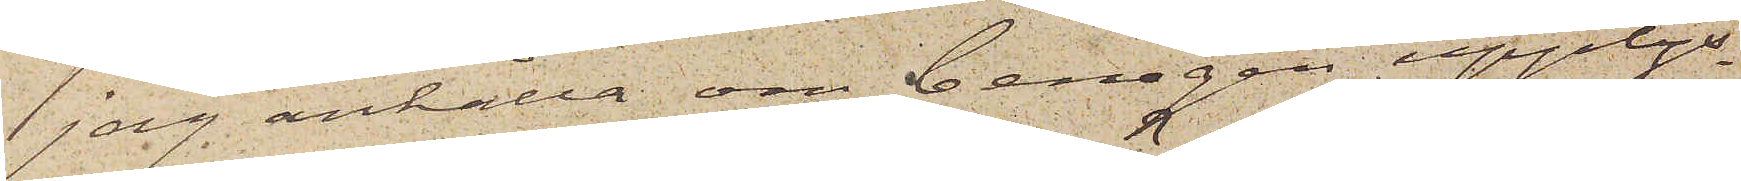jag anhålla om benägen upplys¬
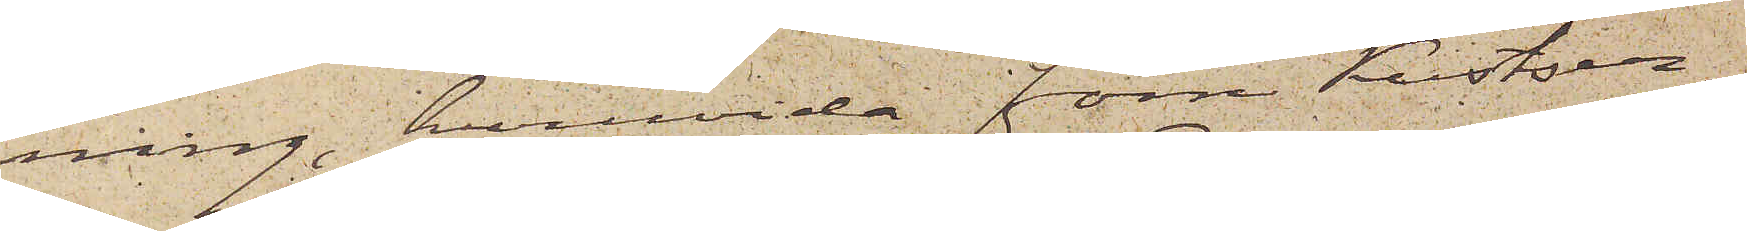ning, huruvida förre Kustser¬
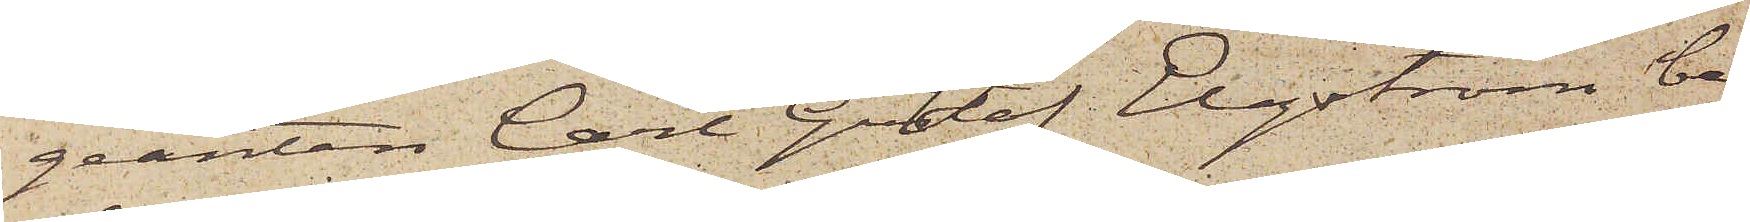geanten Carl Gustaf Elgström be¬
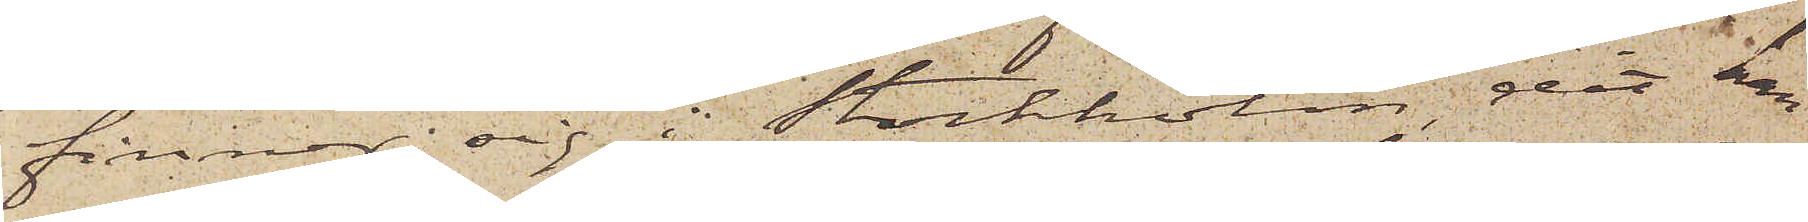finner sig i Stockholm, dit han
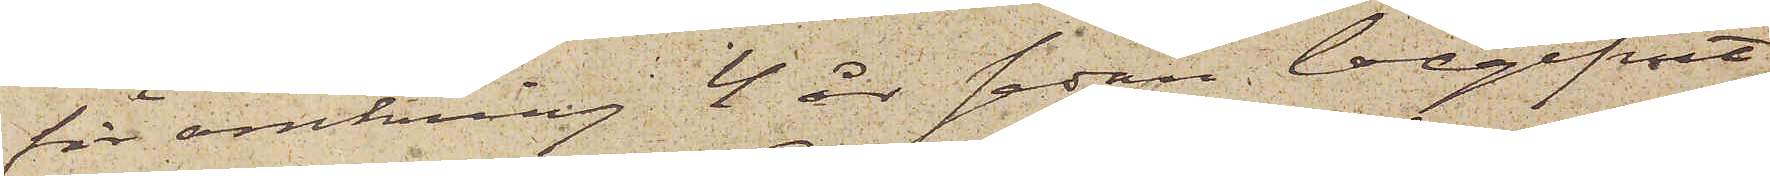för omkring 4 år sedan begifvit
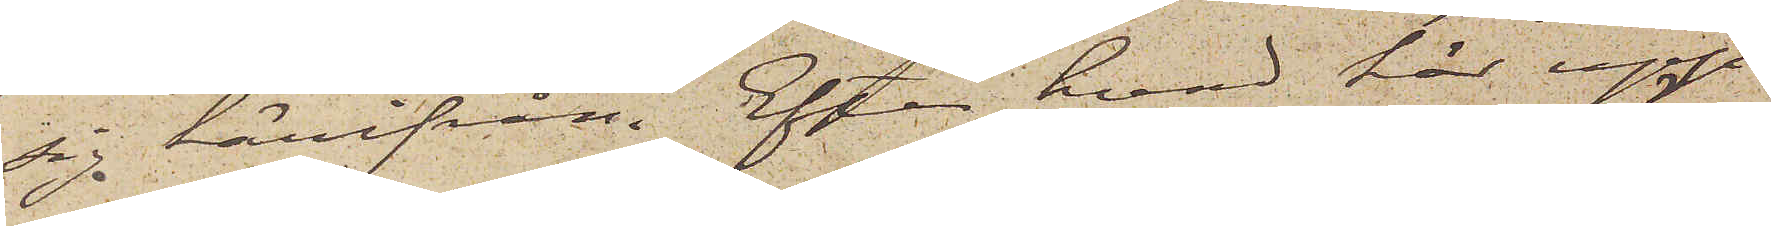sig härifrån. Efter hvad här upp¬
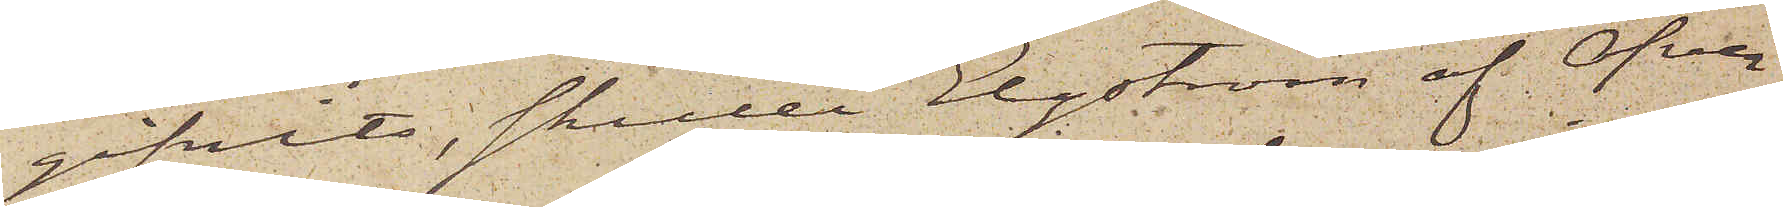gifvits, skulle Elgström af Öfver¬
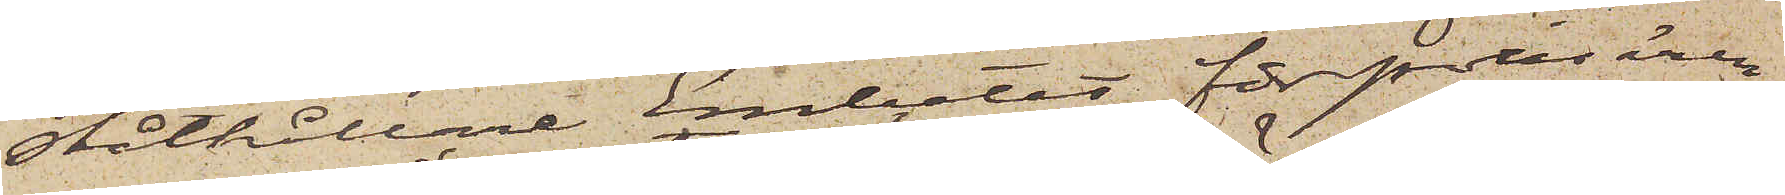ståthållare Embetet för polisären¬
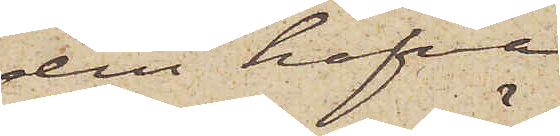den hafva
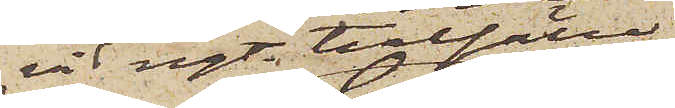vid ngt. tillfälle
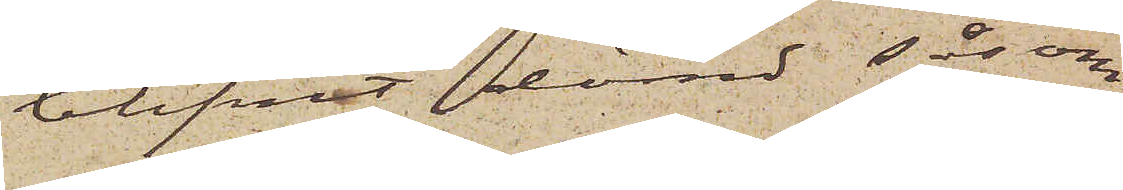blifvit dömd, såsom
